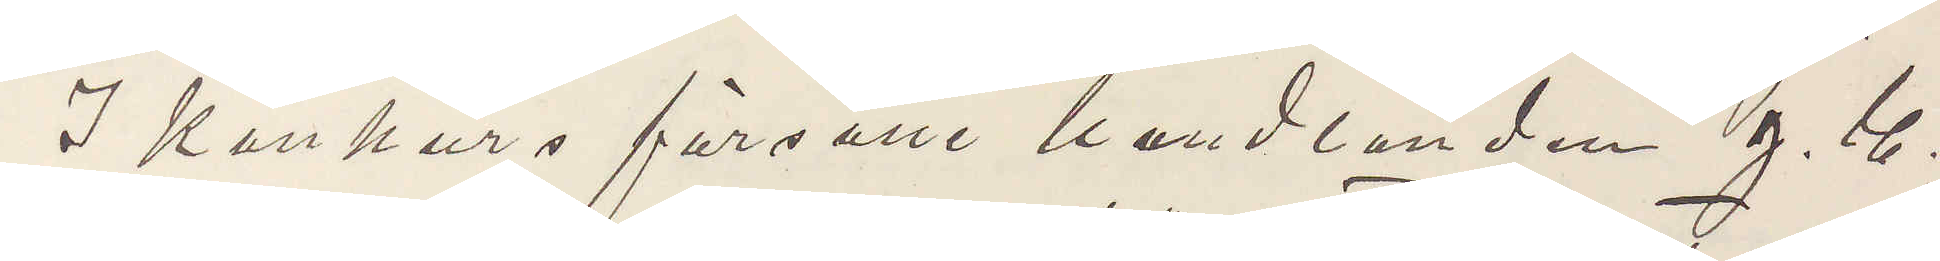I konkurs försatte handlanden J. G.
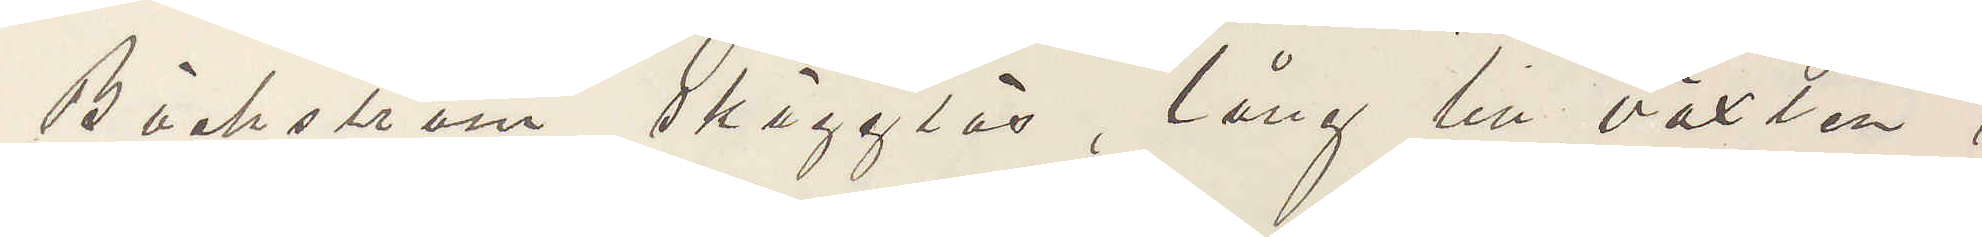Bäckström, skägglös, lång till växten,
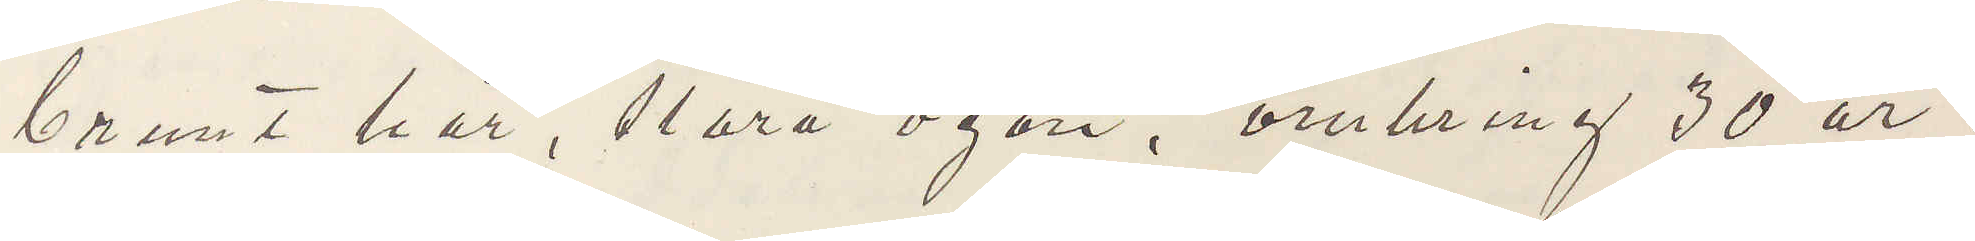brunt hår, stora ögon, omkring 30 år,
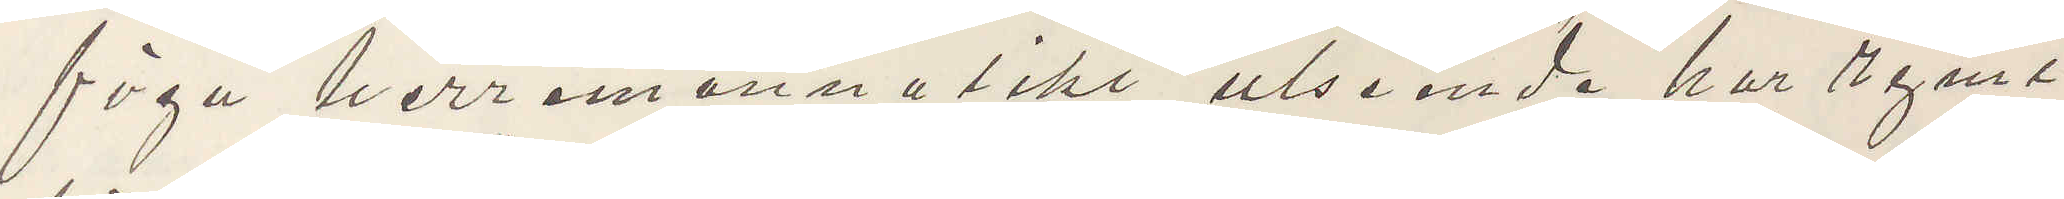föga herremanslikt utseende. har rymt
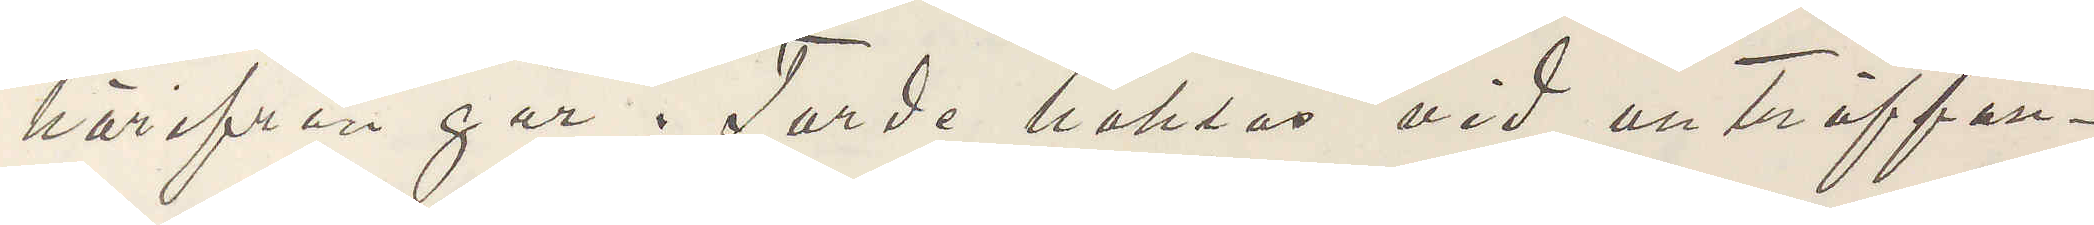härifrån igår. Torde häktas vid anträffan¬
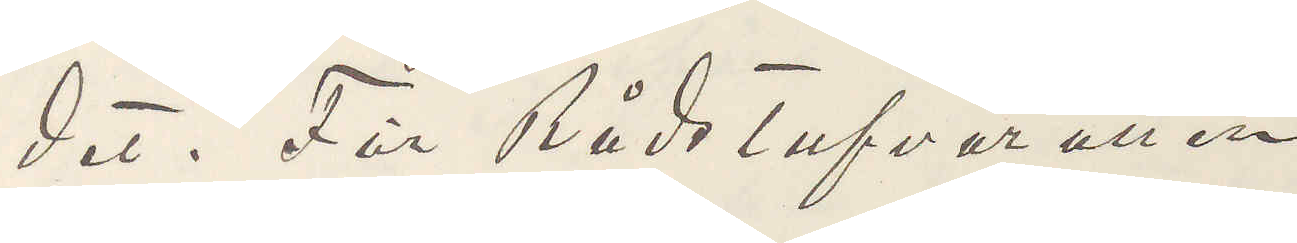det. För Rådstufverätten
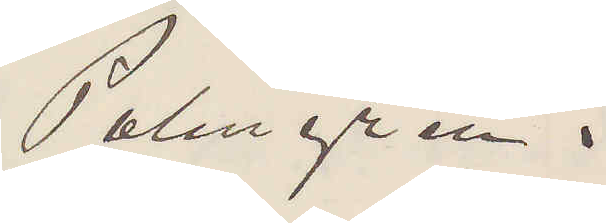Palmgren.
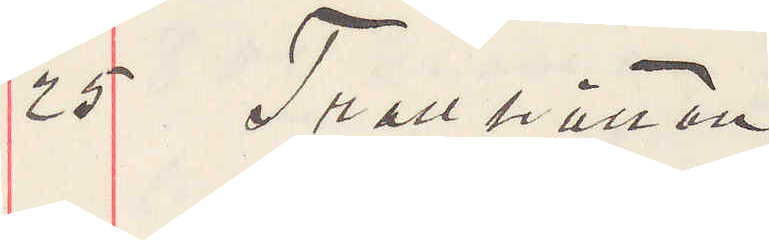25 Trollhättan.
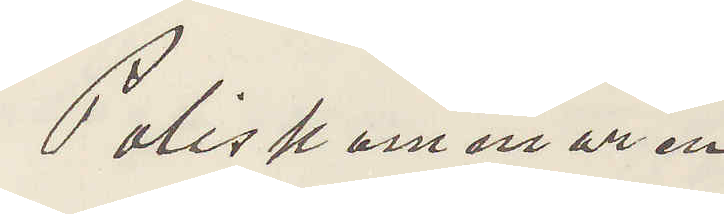Poliskammaren
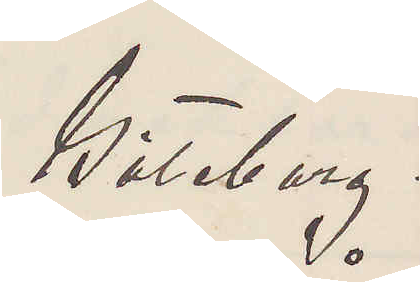Göteborg.
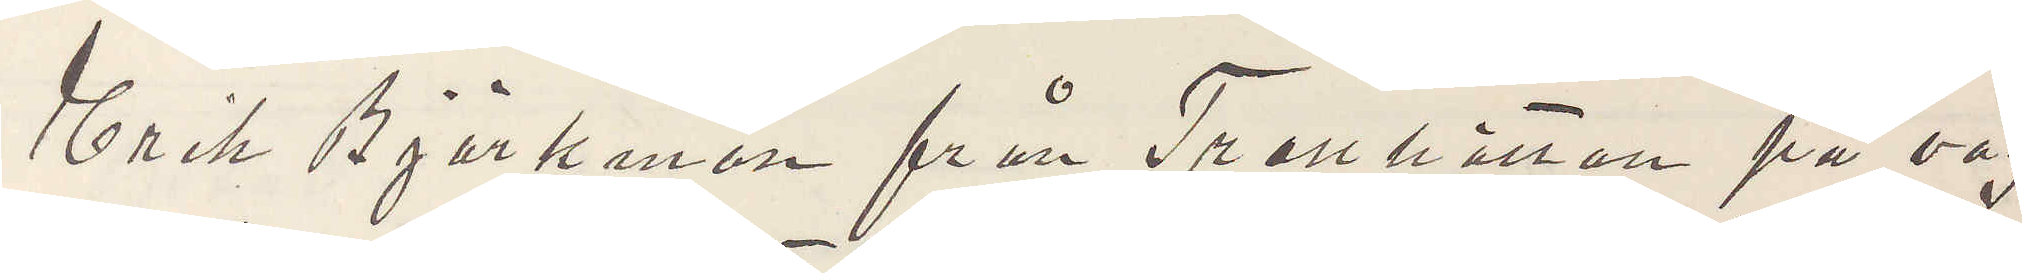Erik Björkman från Trollhättan på väg
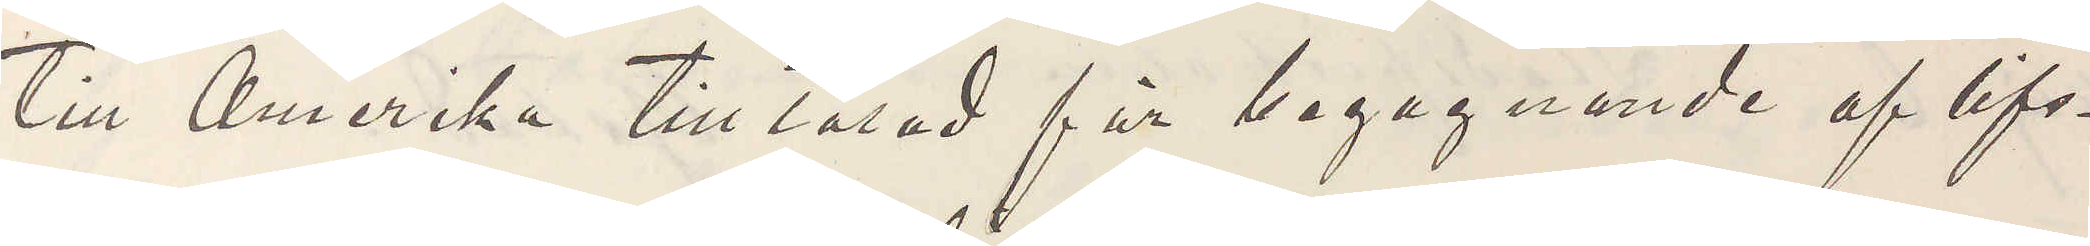till Amerika tilltalad för begagnandet af lifs¬
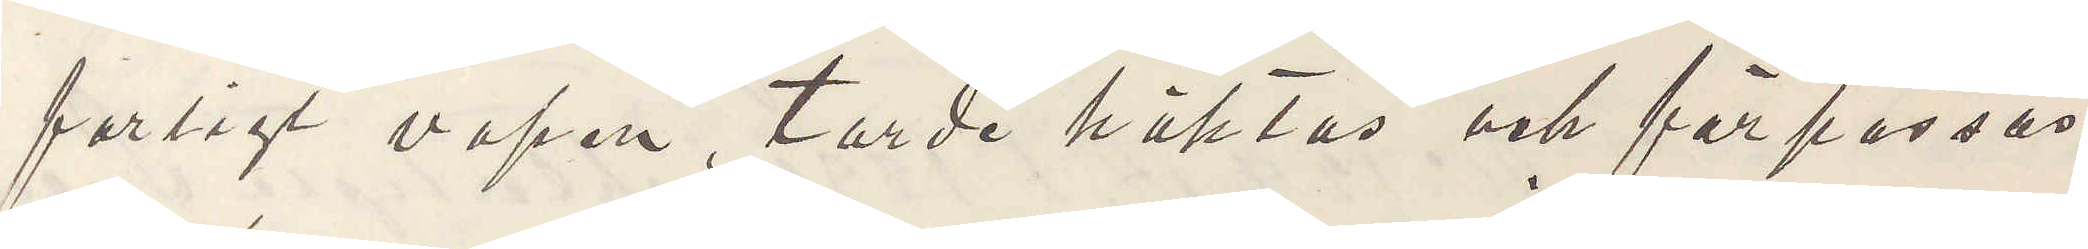farligt vapen. Torde häktas och förpassas
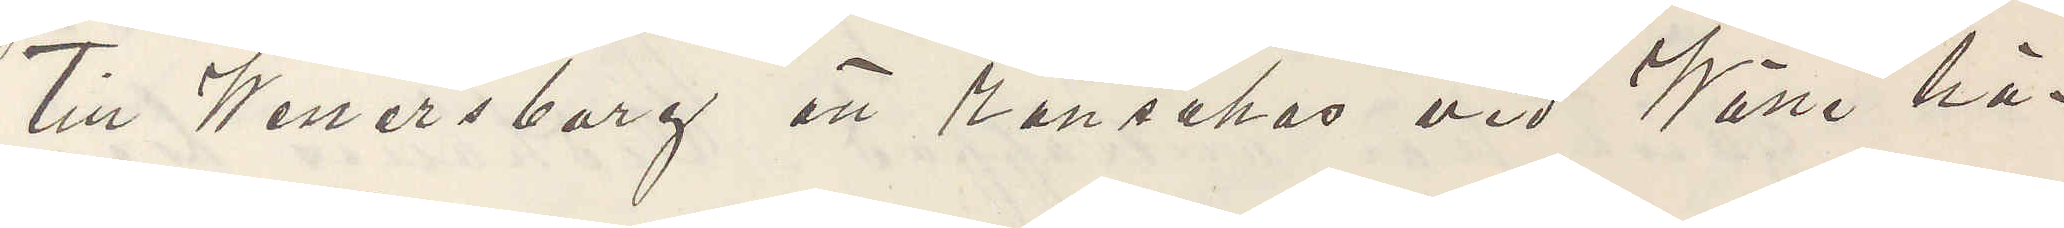till Wenersborg att ransakas vid Wäse hä¬
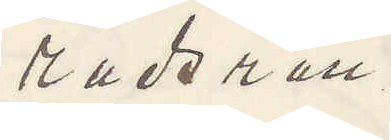radsrätt.
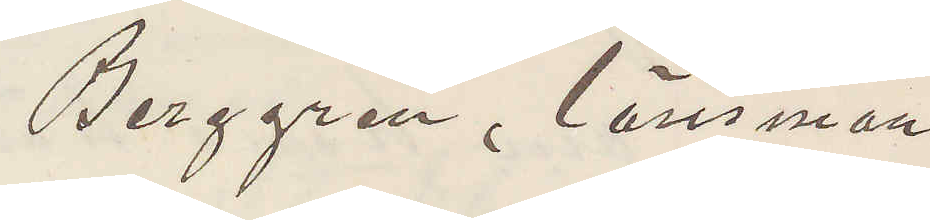Berggren, länsman.
